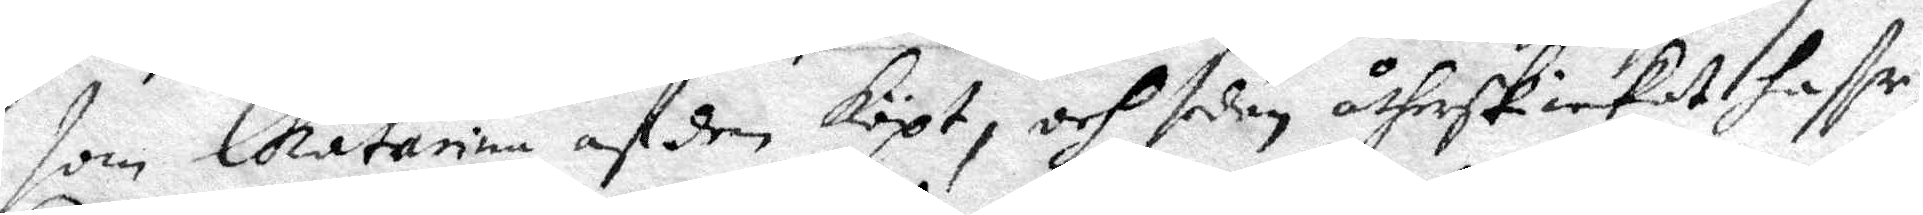som Chatarina af den köpt, och sedan åtherskickat haffr,
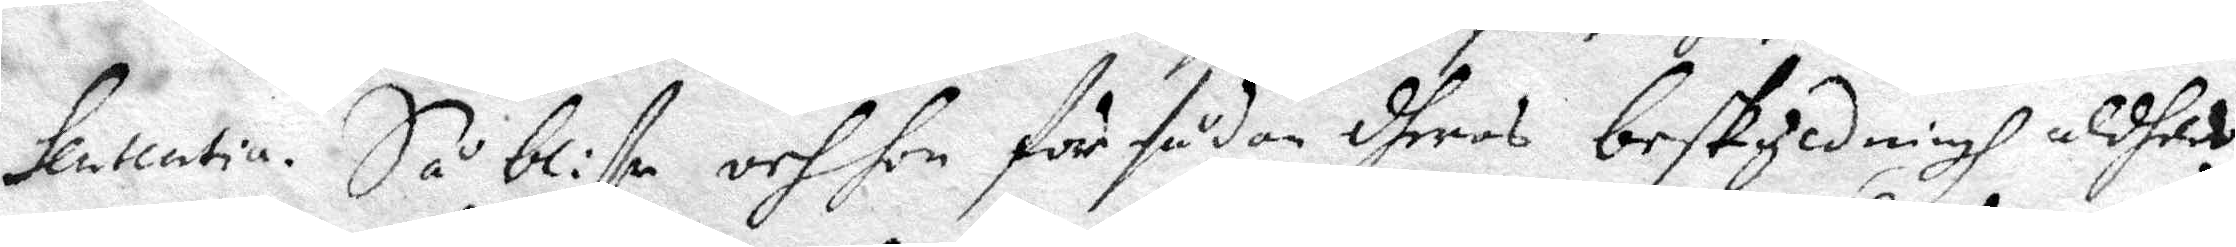Sententia. Så bliffr och hon för sådan dheras beskyldnigh aldhes
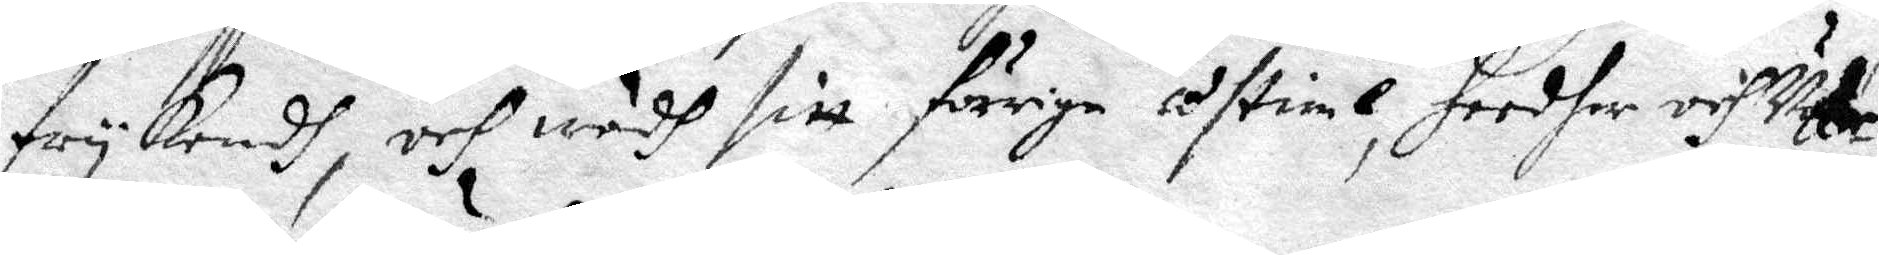frykendh och wedh sitt förrige östinl, heedher och Vyter
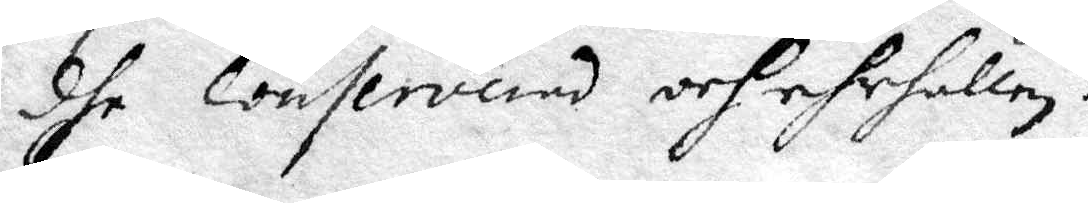dhe conserverad och ehrhållen.
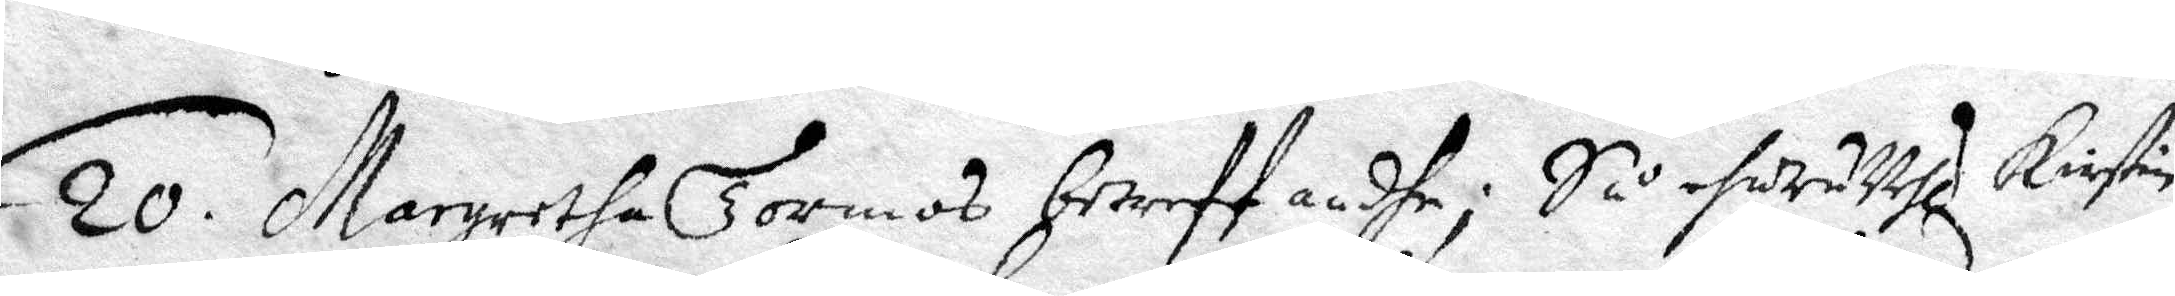20. Margretha Tormos betreff andhe; Så ehur uthi Kirstin
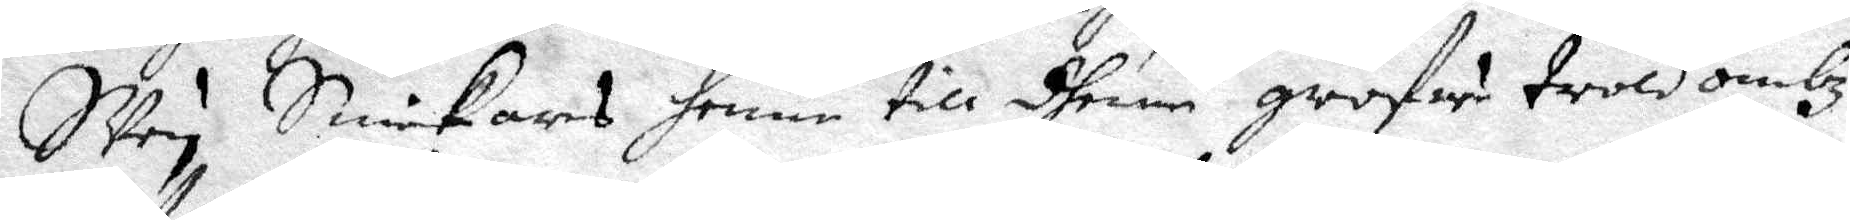Sven Snickars henne till dhenn grofwe troldombz
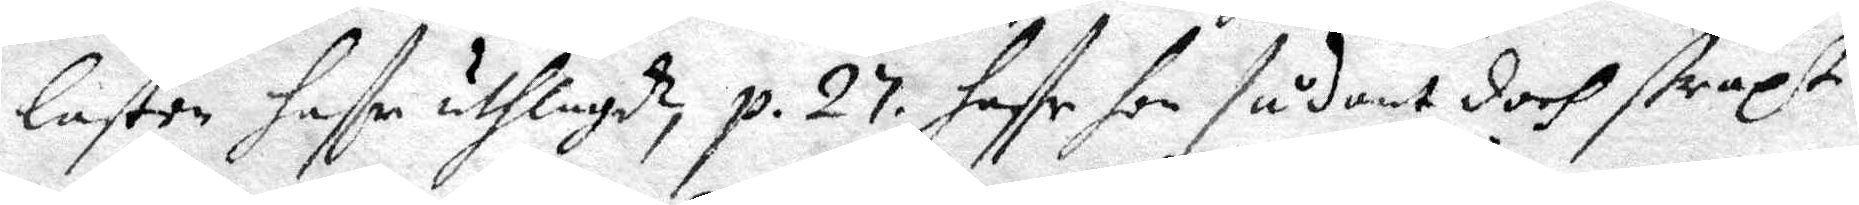lasten haffr uthlagdt, p. 27. haffr hon sådant doch straxt 
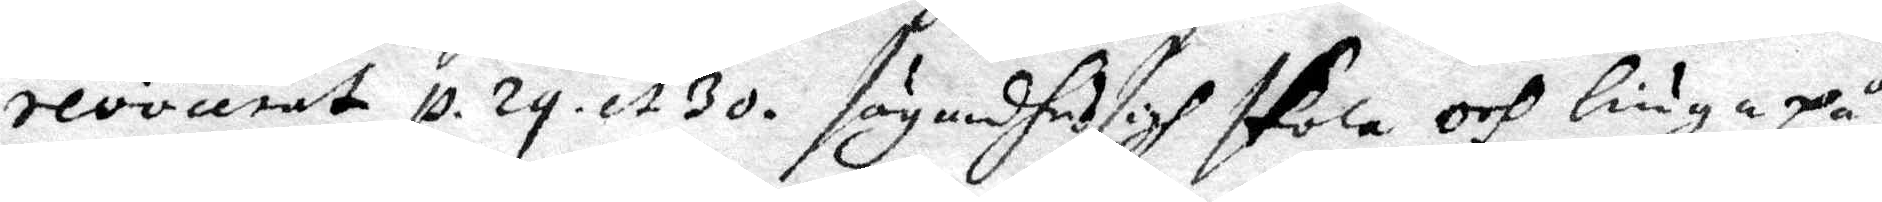revocerat, p. 29. et 30. säyndhe sigh skola och liuga på
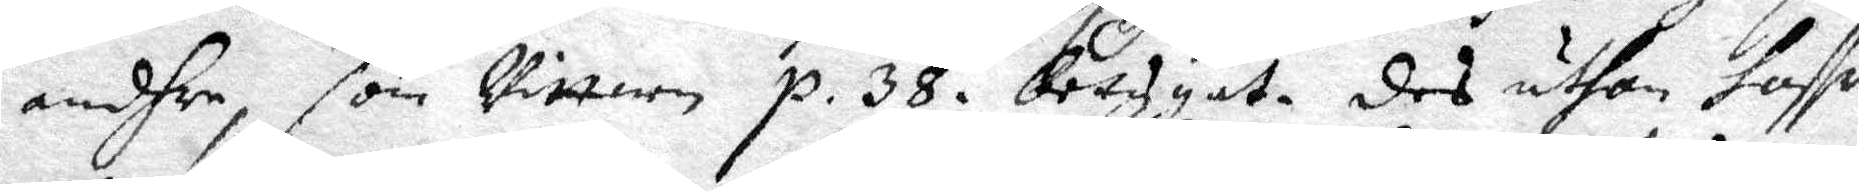andhre som Wittnen p. 38. betygat. des uthan haffr 
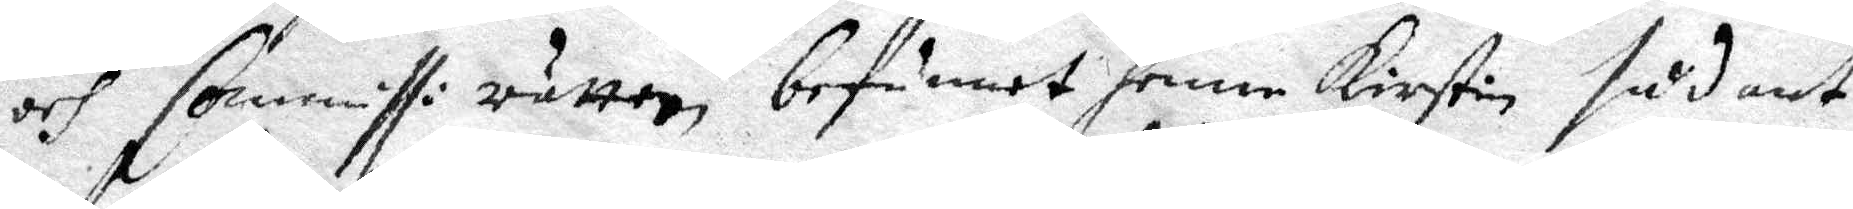och Commissi rätten, befunnet henne Kirstin sådant 
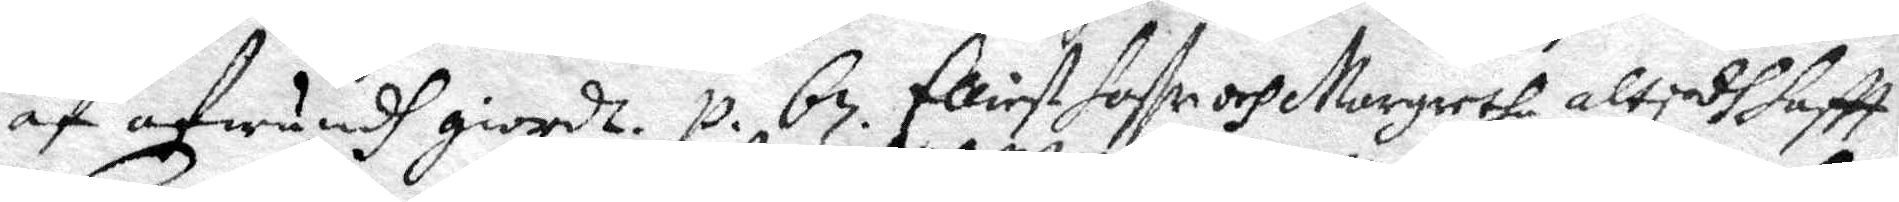af afwundh giordt. p. 67. Elliest haffr och Margaretha altydh haftt 
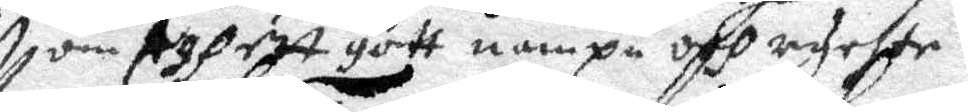om sigh ett gott nampn och rychte.
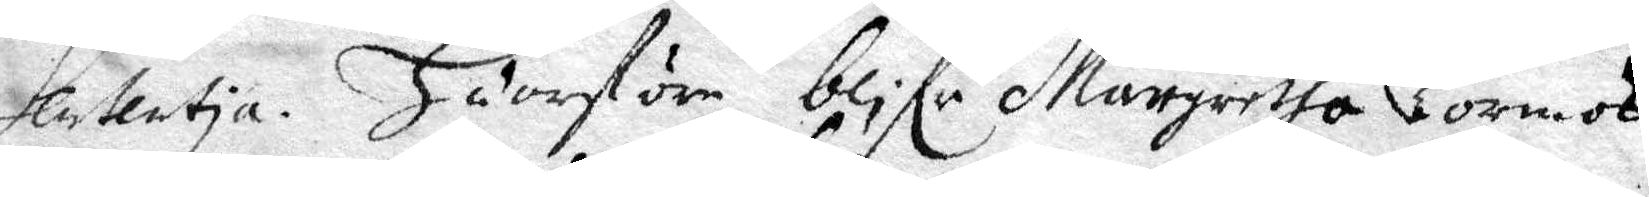Sententia. Huarföre blifr Margaretha Tormos  
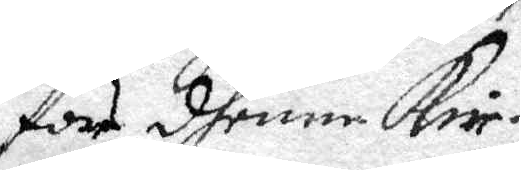för dhenne Kir¬ 
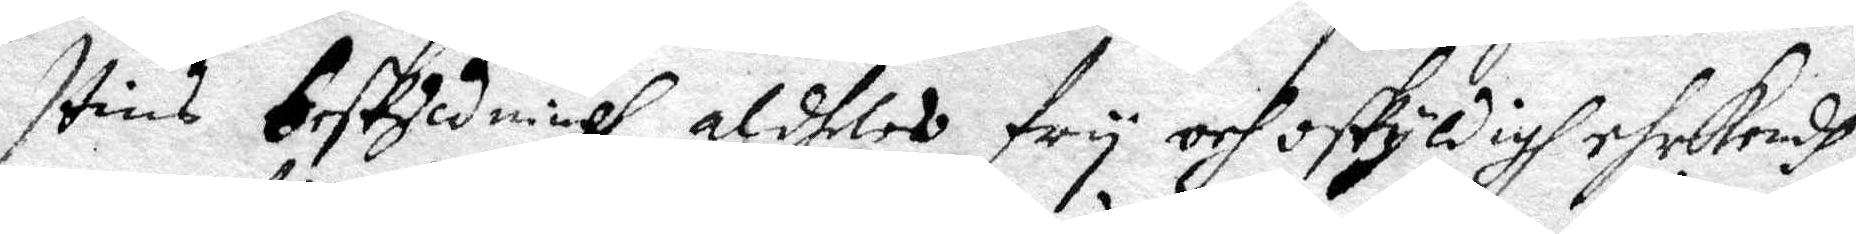stins beskyldningh aldhles fry och oskyldigh ehrkendh
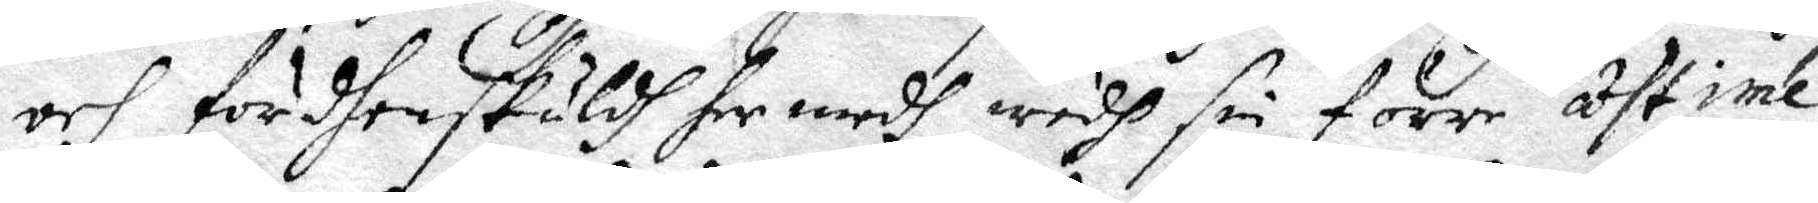och fördhen skuldh her medh wedh sin förre åthtiente
